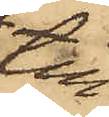till
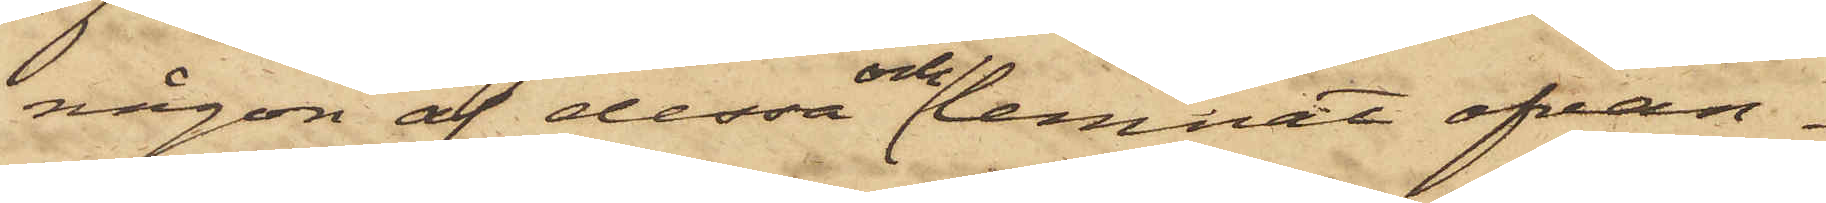någon af dessa och lemnat ofvan¬
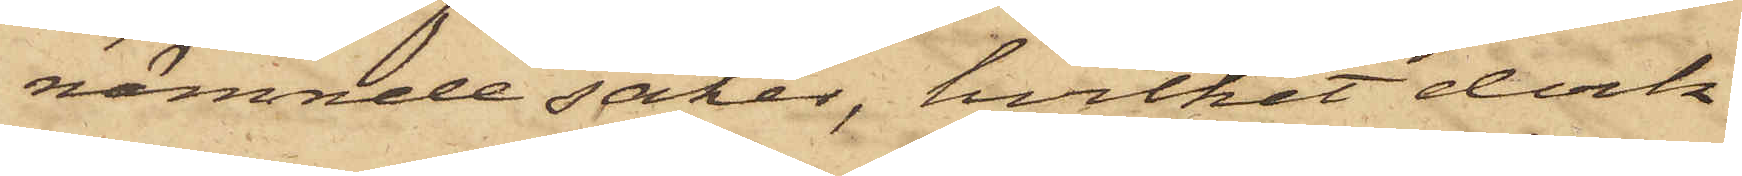nämnde saker, hvilket dock
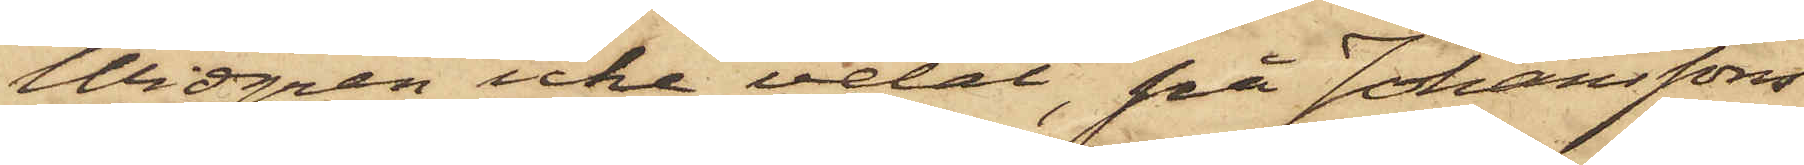Widgren icke velat, på Johanssons
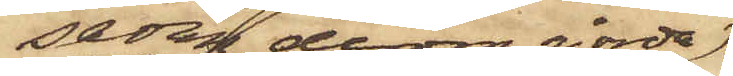sedan derom gjorda
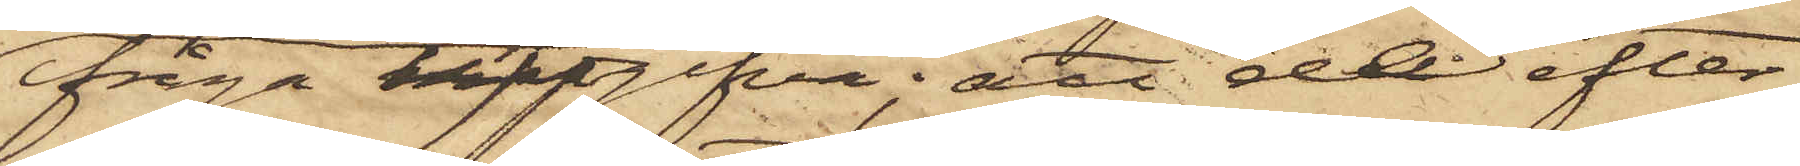fråga uppgifva; att de efter
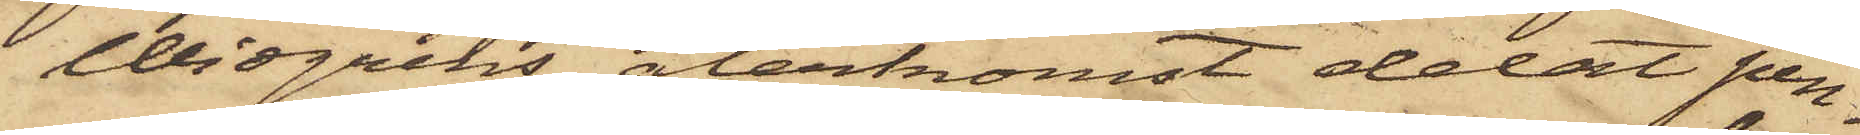Widgrens återkomst delat pen¬
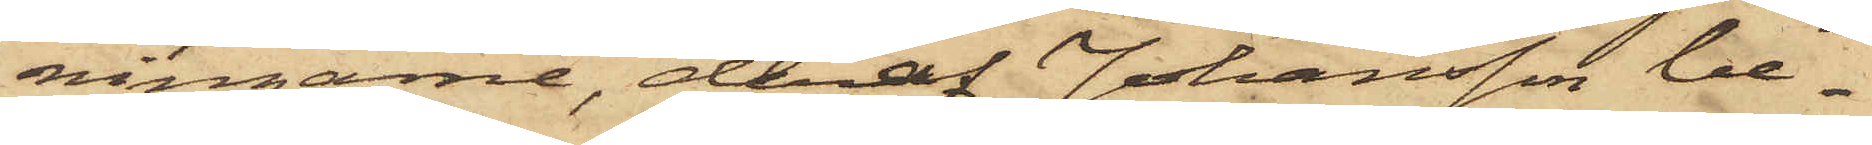ningarne, deraf Johansson be¬
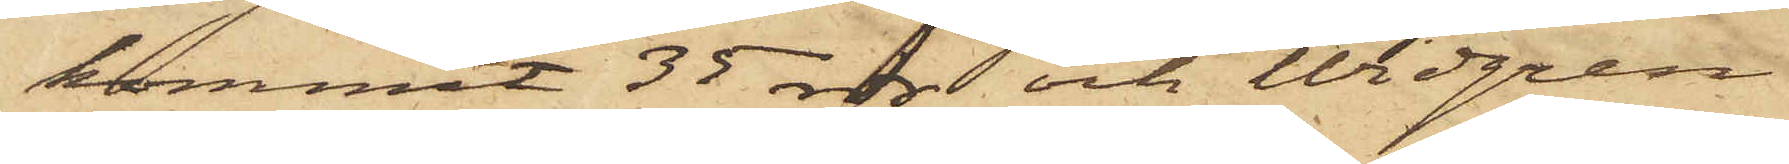kommit 35 rdr och Widgren
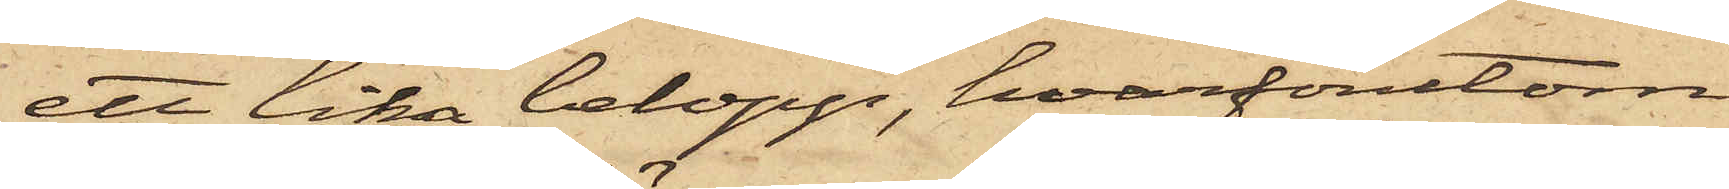ett lika belopp, hvarförutom
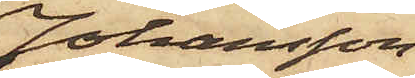Johansson
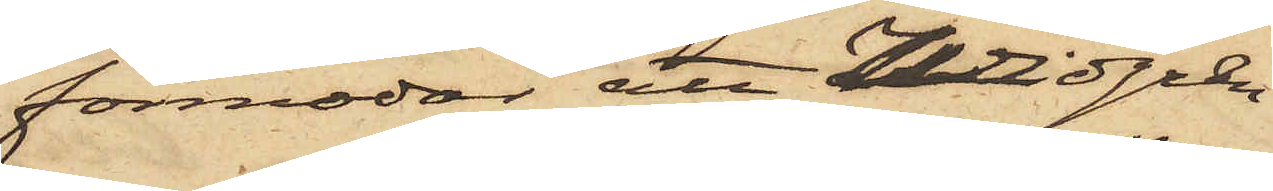förmodar att Widgren
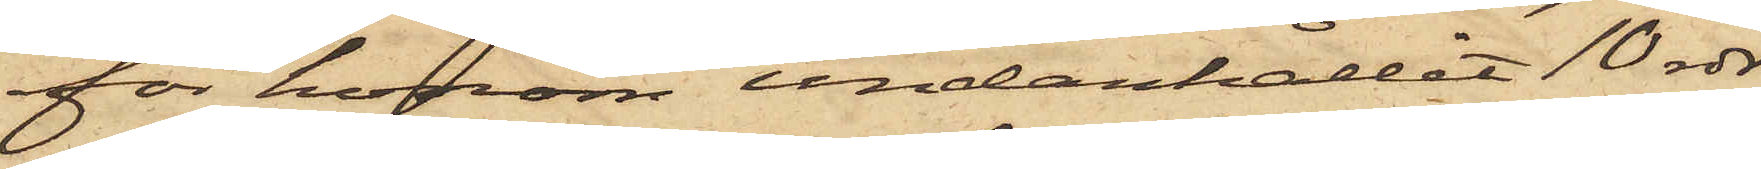för honom undanhållit 10 rdr
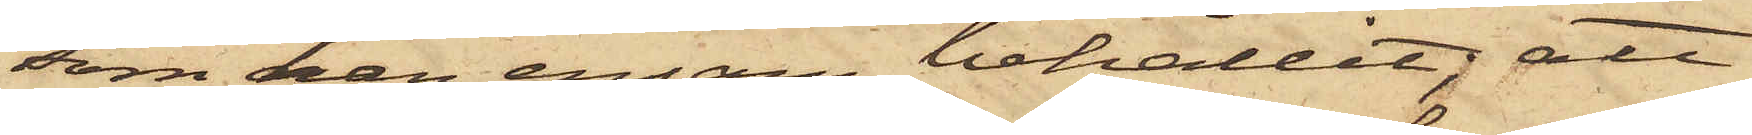som han ensam behållit; att
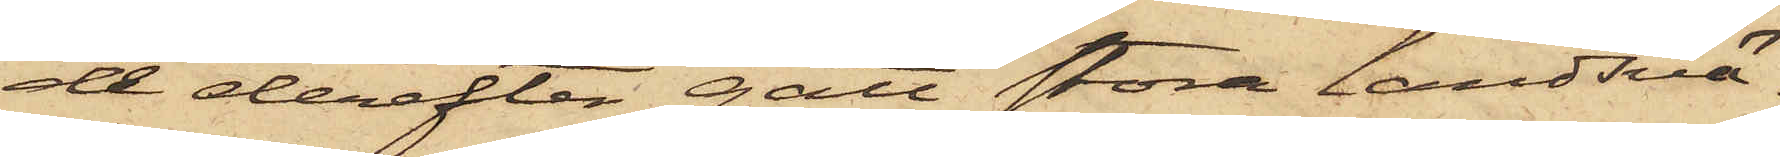de derefter gått Stora landsvä¬
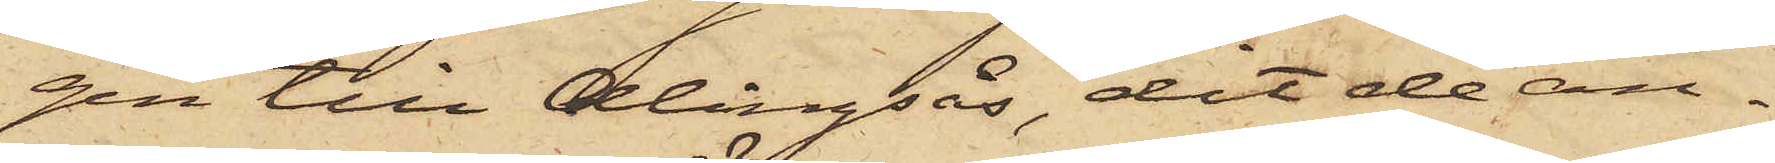gen till Alingsås, dit de an¬
